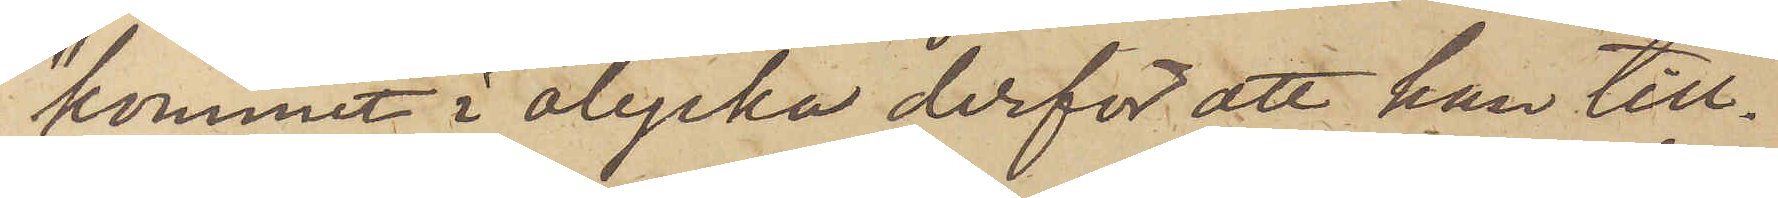"kommit i olycka derför att han till¬
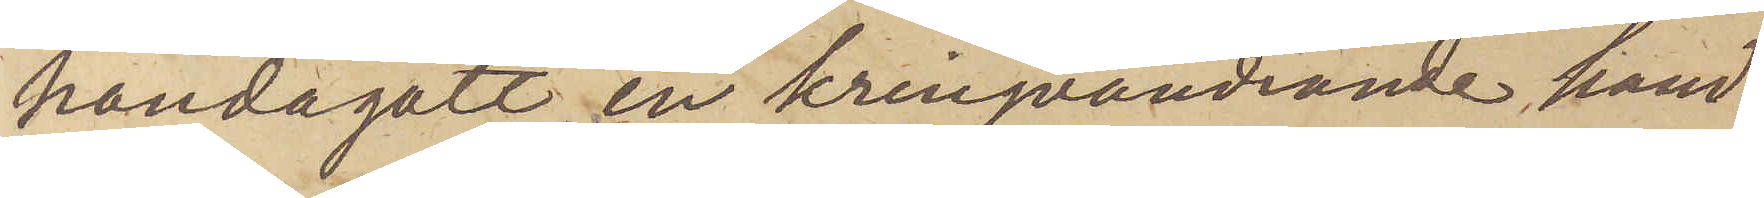handagått en kringvandrande hand¬
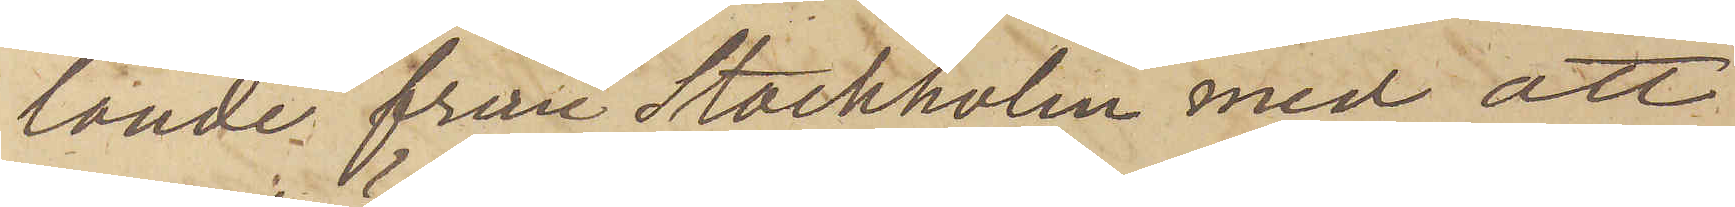lande från Stockholm med att
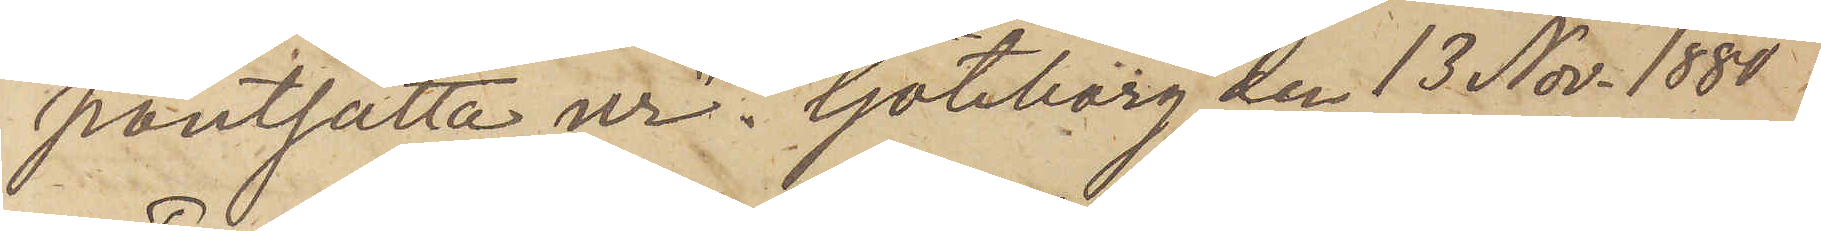pantsatta ur". Göteborg den 13 Nov. 1880.
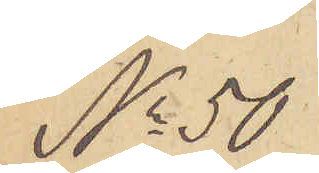No 50
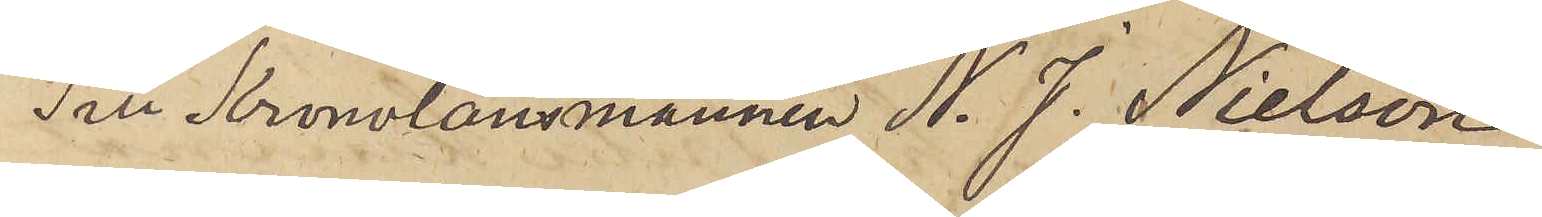Till Kronolänsmannen N. J. Nielson
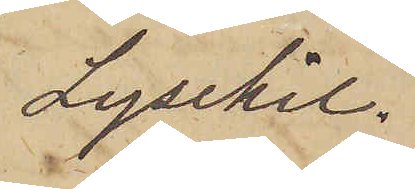Lysekil.
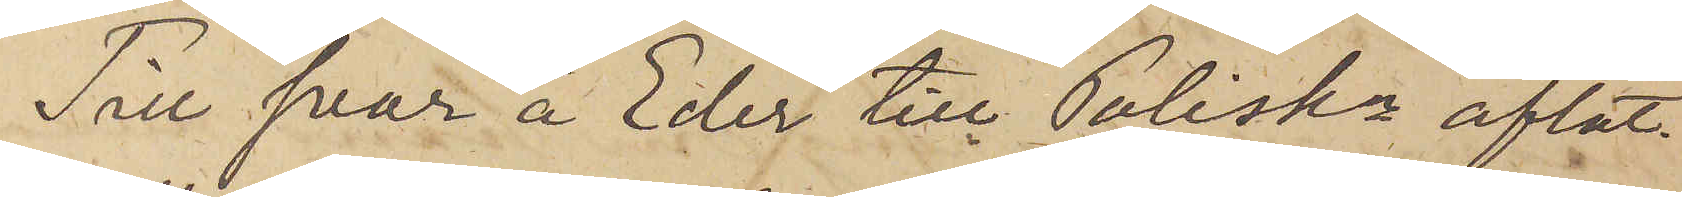Till svar å Eder till Poliskn aflåt¬
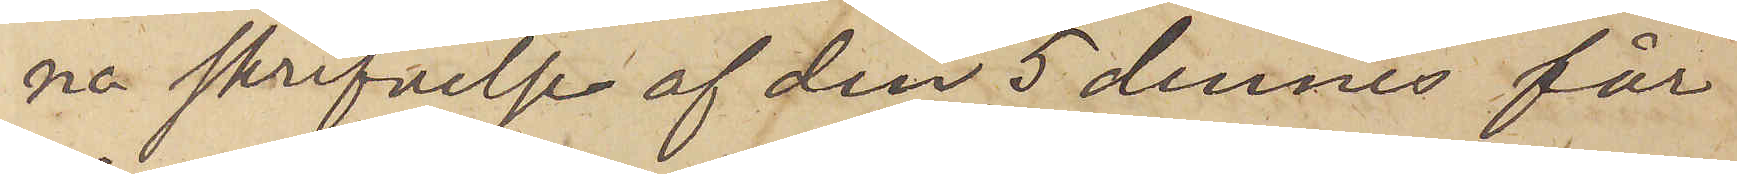na skrifvelse af den 5 dennes får
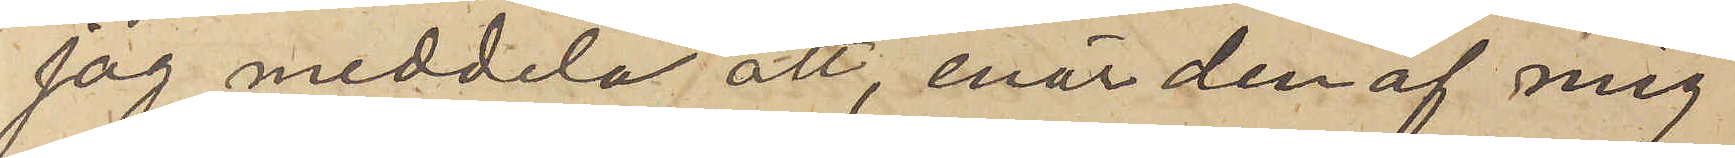jag meddela att, enär den af mig
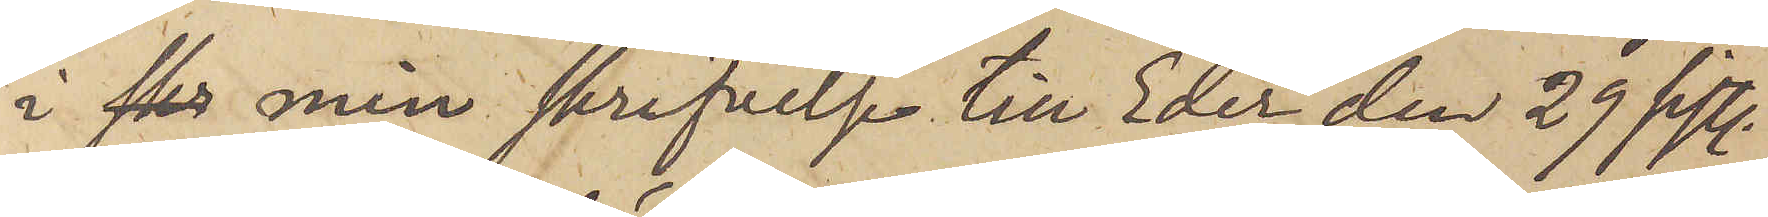i skr min skrifvelse till Eder den 29 sistl.
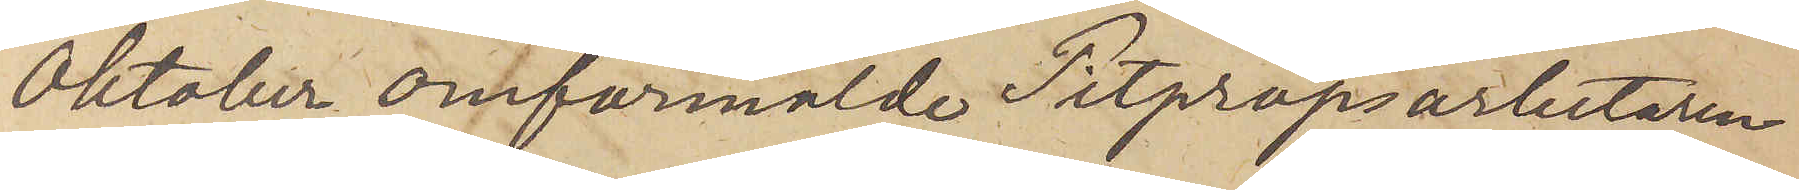Oktober omförmälde Pitpropsarbetaren
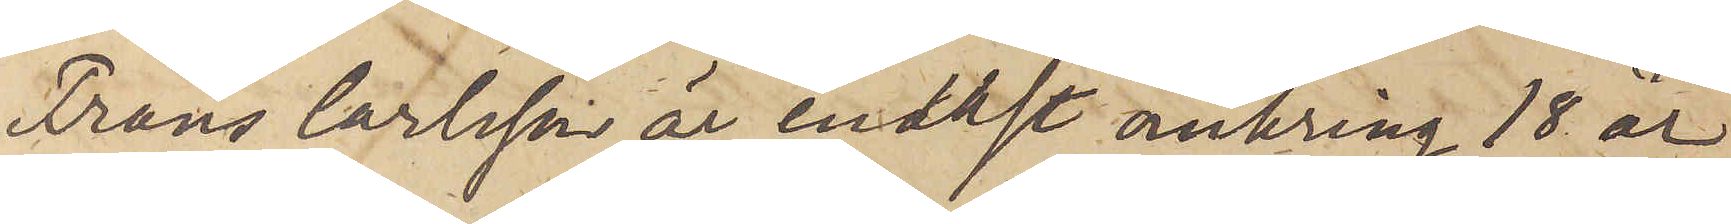Frans Carlsson är endast omkring 18 år
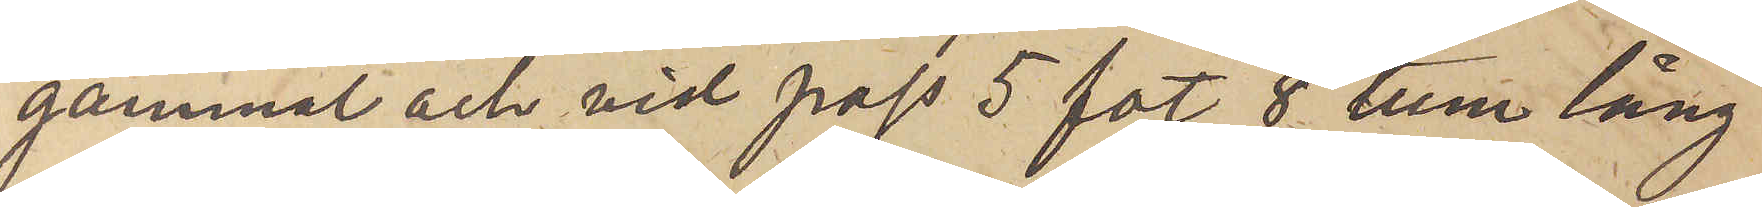gammal och vid pass 5 fot 8 tum lång
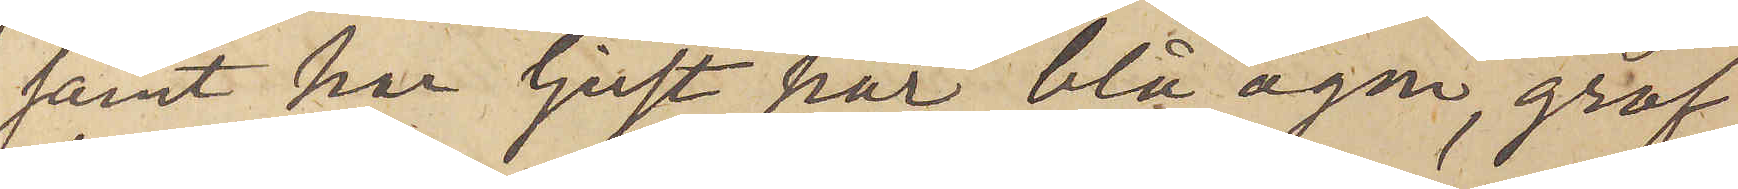samt har ljust hår, blå ögon, grof
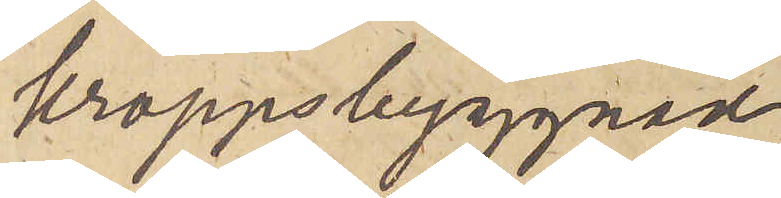kroppsbyggnad
